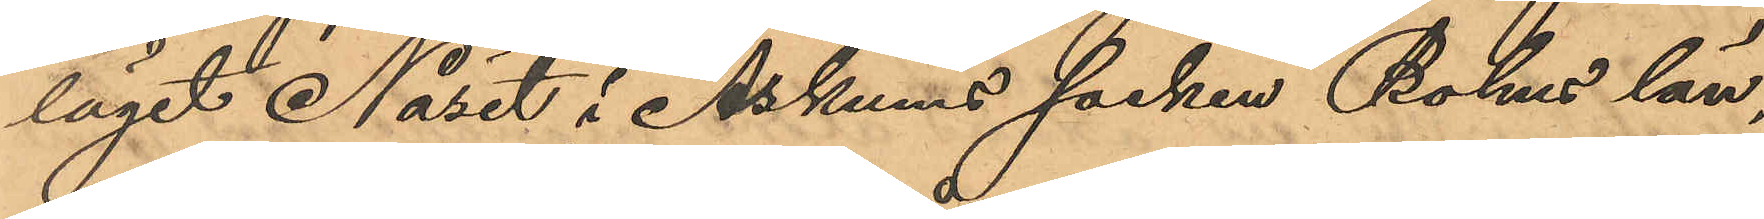läget Näset i Askums socken, Bohus län,
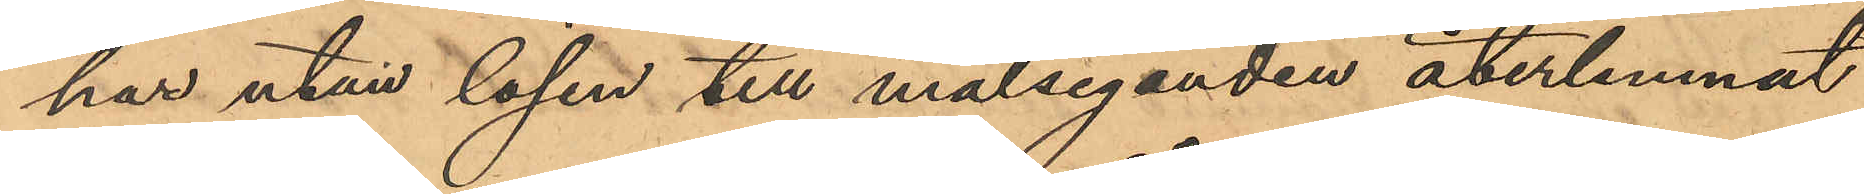har utan lösen till målseganden återlemnat
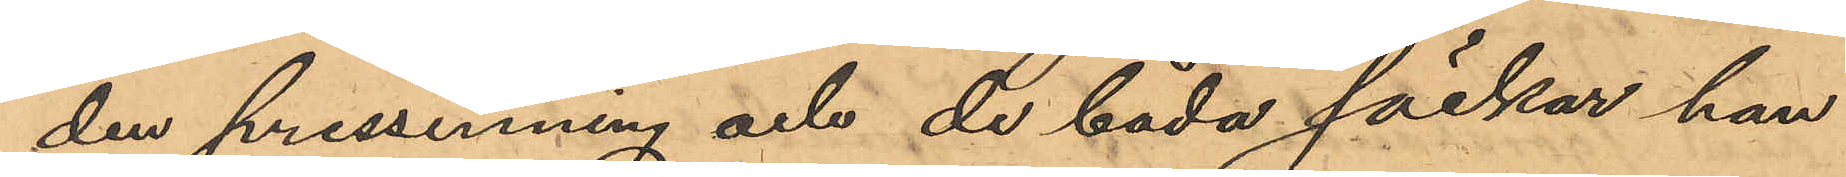den pressenning och de båda säckar han
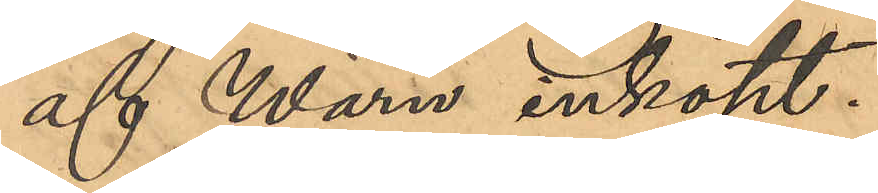af Wärn inköpt.
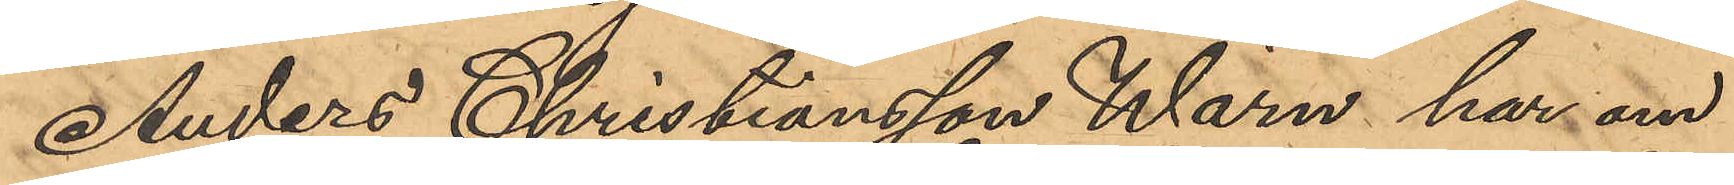Anders Christiansson Wärn har om
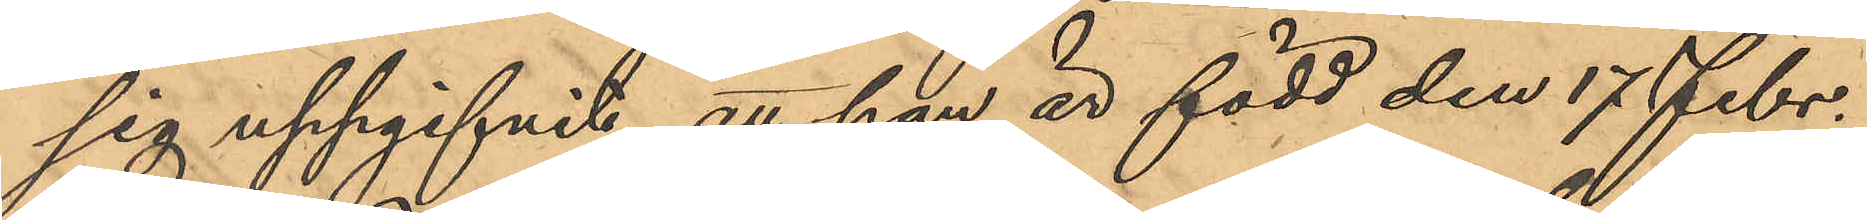sig uppgifvit, att han är född den 17 Febr.
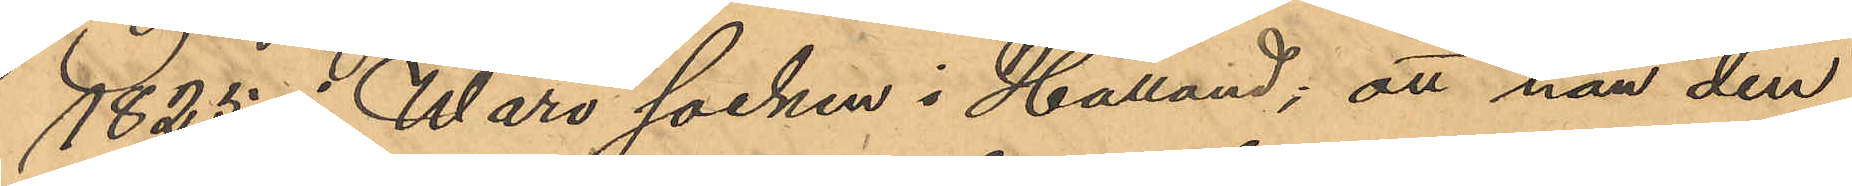1825 i Wärö socken i Halland; att han den
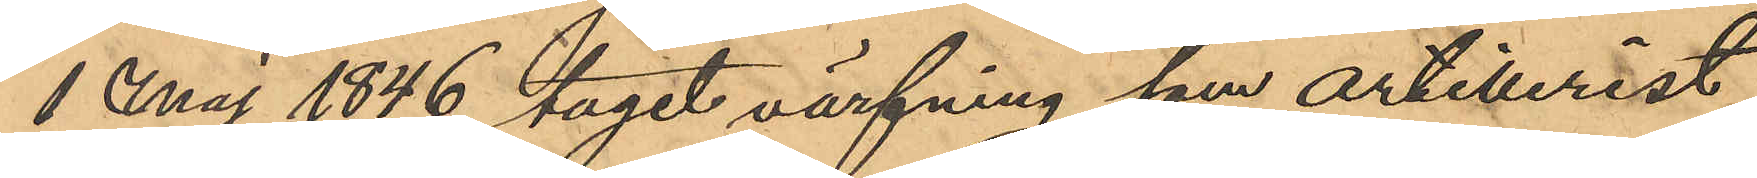1 Maj 1846 tagit värfning som artillerist
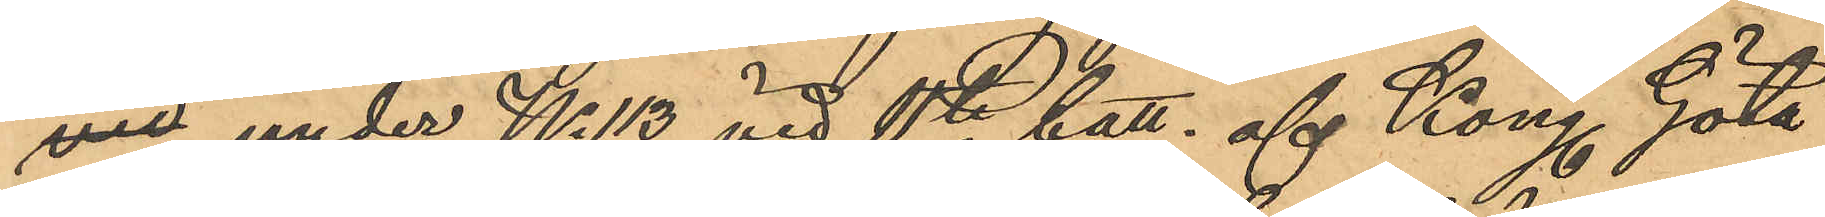ven under No 113 vid 11te batt. af Kong Göta
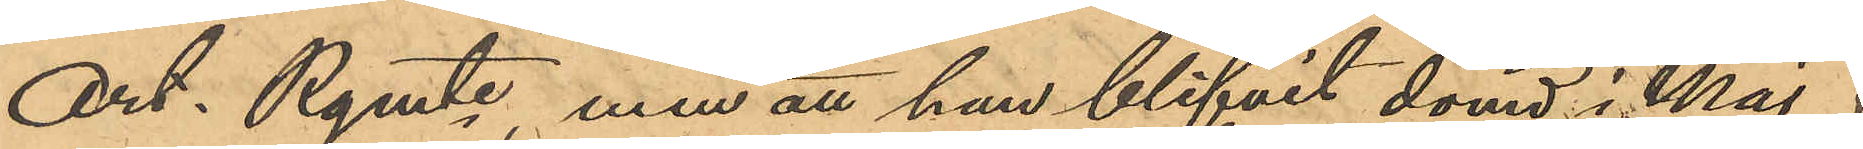Art Rgmte, men att han blifvit dömd i Maj
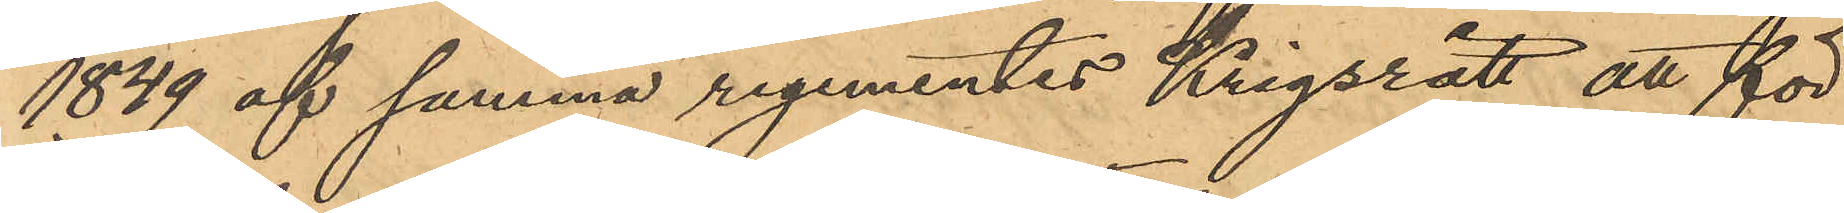1849 af samma regementes Krigsrätt att för
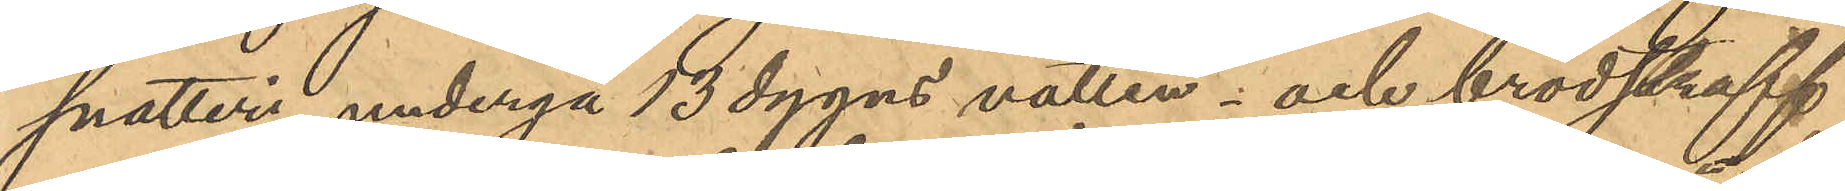snatteri undergå 13 dygns vatten- och brödstraff
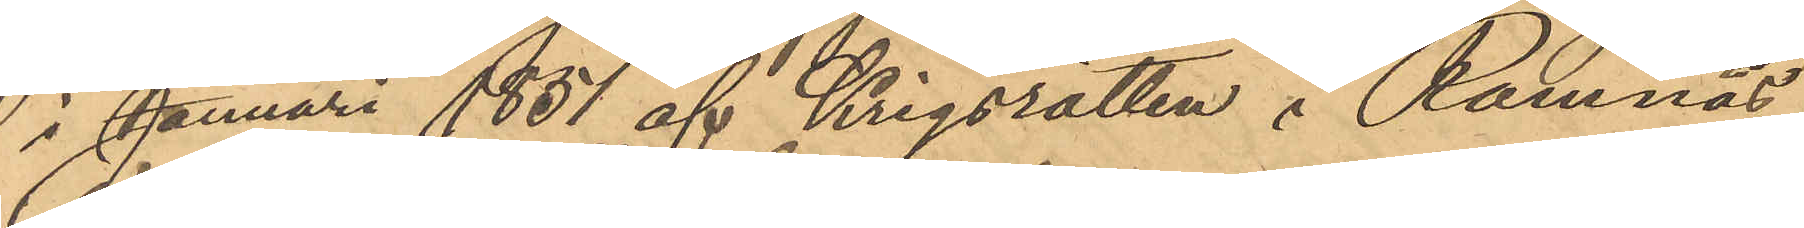i Januari 1851 af Krigsrätten i Ramnäs
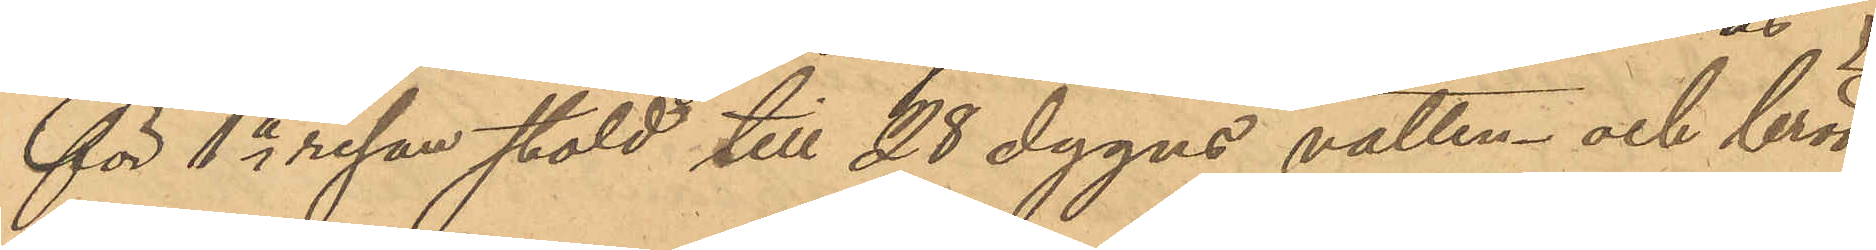för 1a resan stöld till 28 dygns vatten och bröd¬
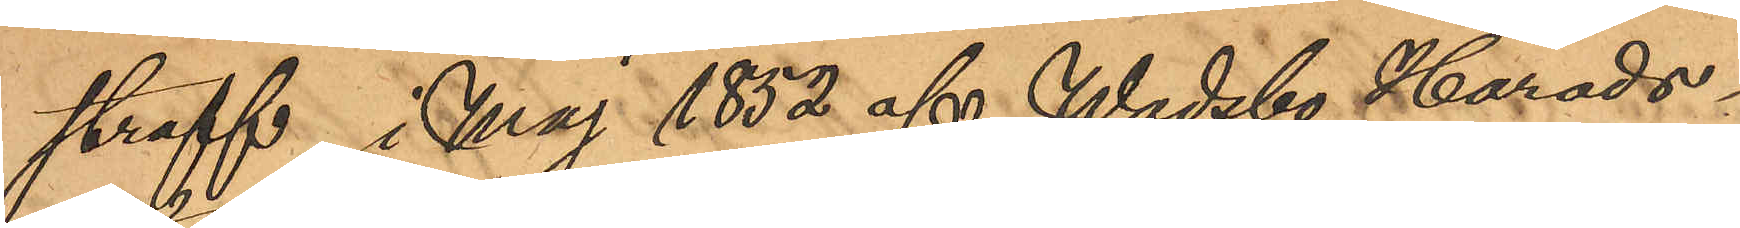straff, i Maj 1852 af Wadsbo Härads¬
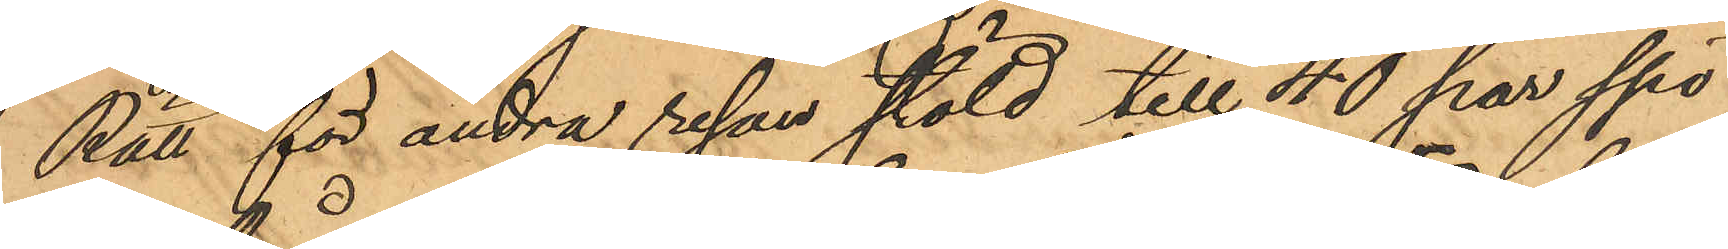Rätt för andra resan stöld till 40 par spö
